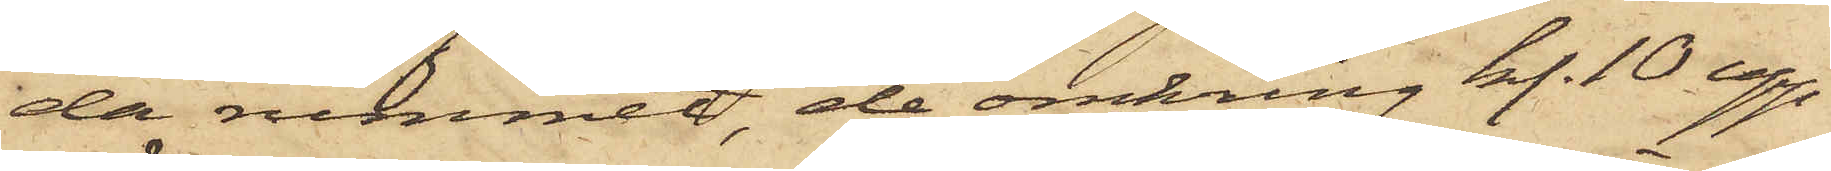da rummet, de omkring kl. 10 upp¬
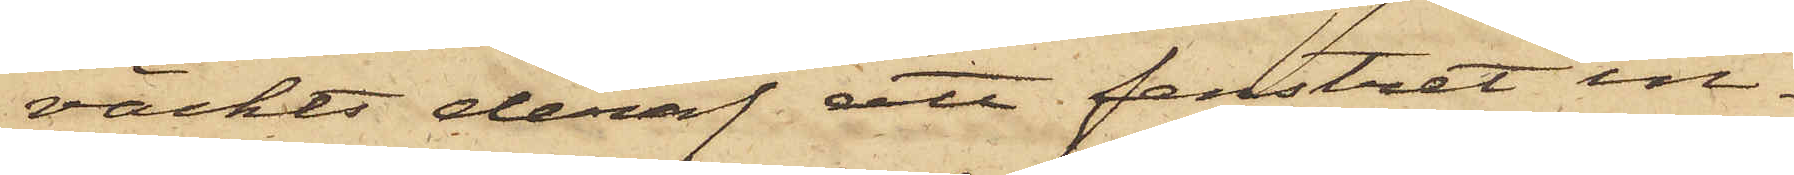väckts deraf att fenstret in¬
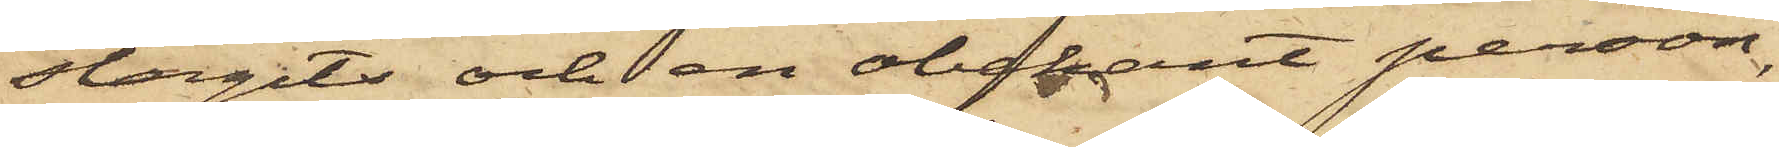slagits och en obekant person,
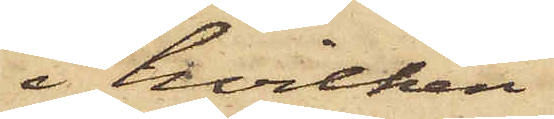i hvilken
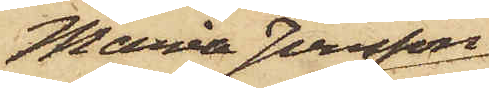Maria Jonsson
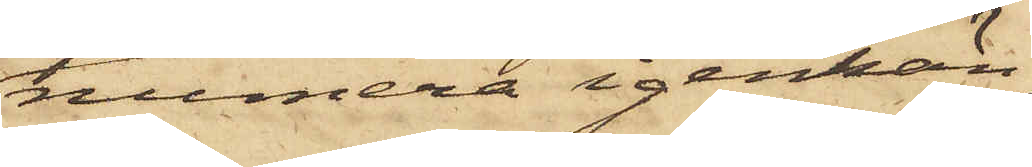numera igenkän¬
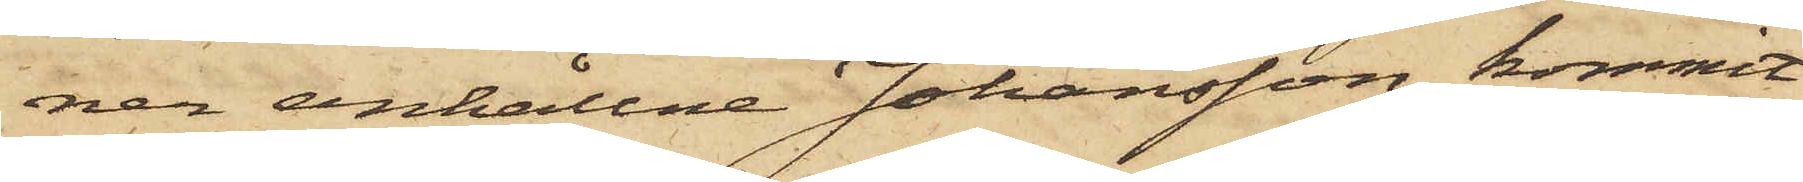ner anhållne Johansson, kommit
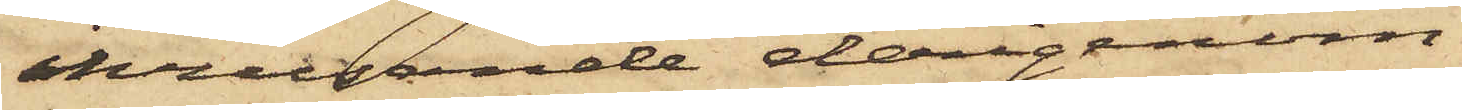inrusande derigenom
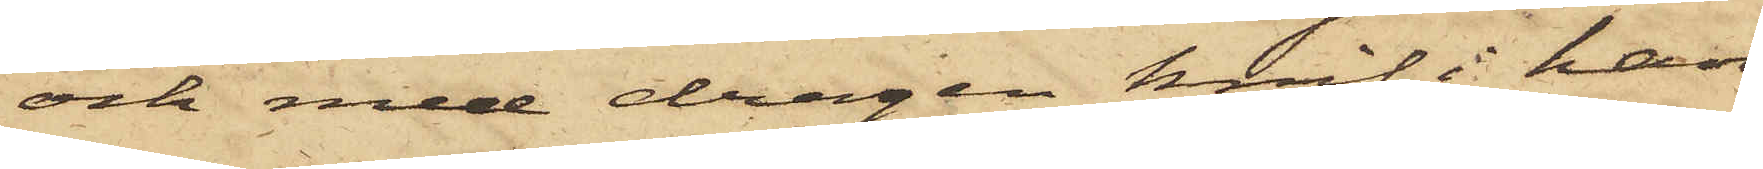och med dragen knif i han¬
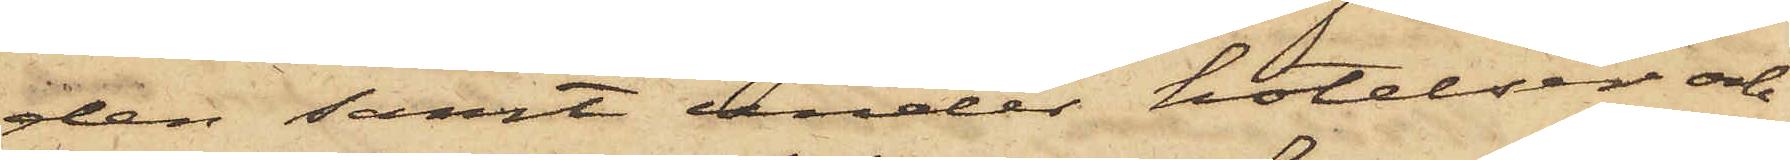den samt under hotelser och
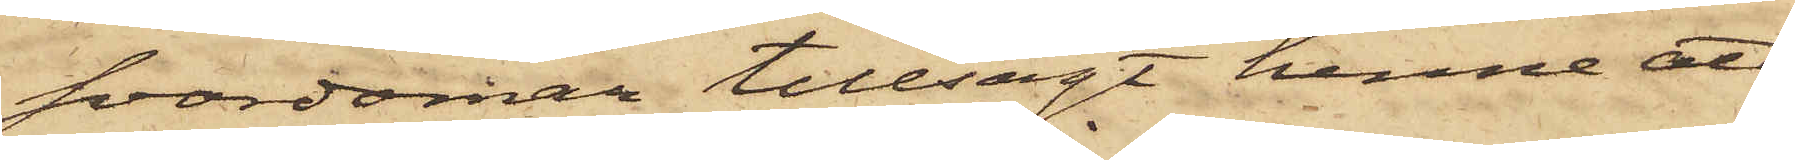svordomar tillsagt henne att
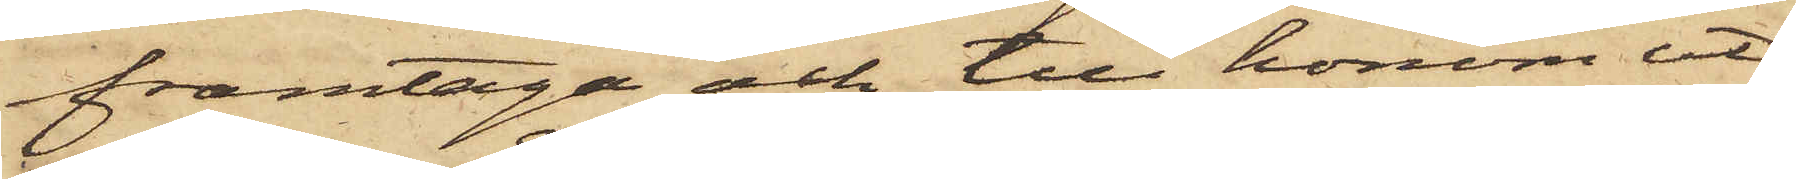framtaga och till honom ut¬
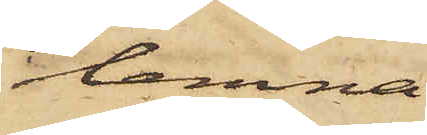lemna
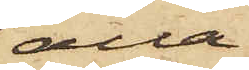alla
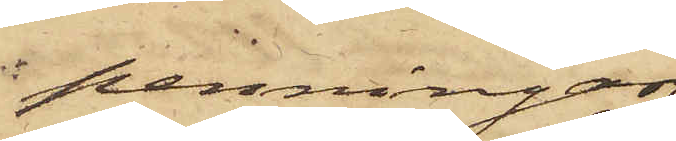penningar
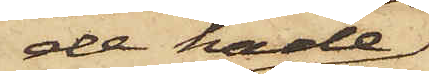de hade;
